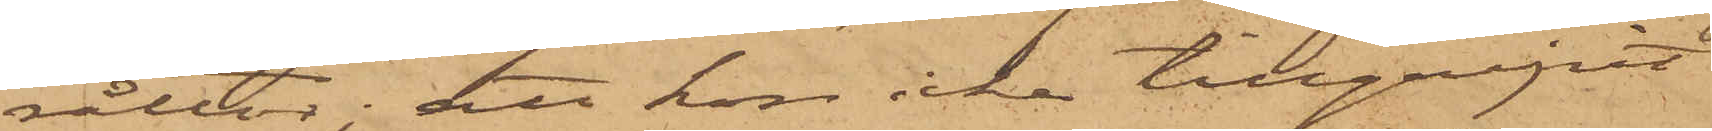råttor; att hon icke tillgripit
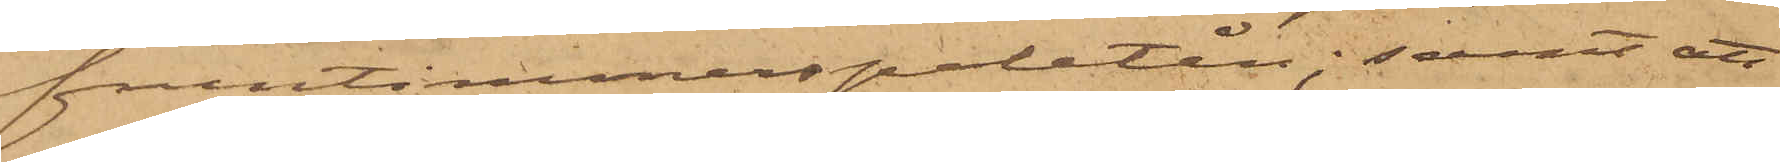fruntimmerspaletån; samt att
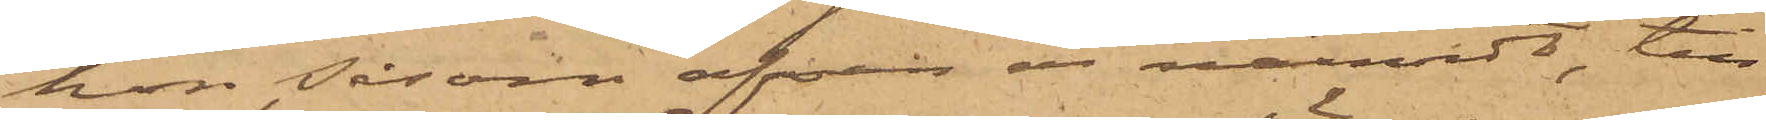hon såsom ofvan är nämndt, till
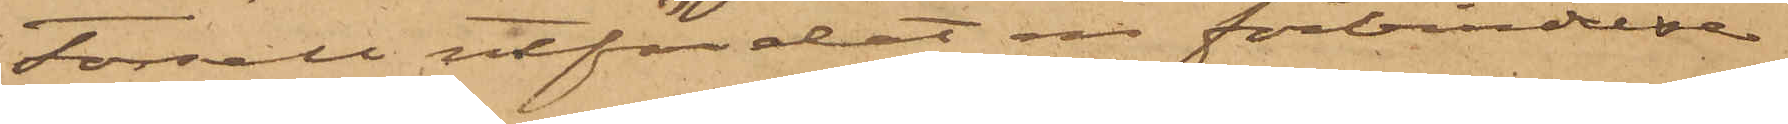Forsell utfärdat en förbindelse
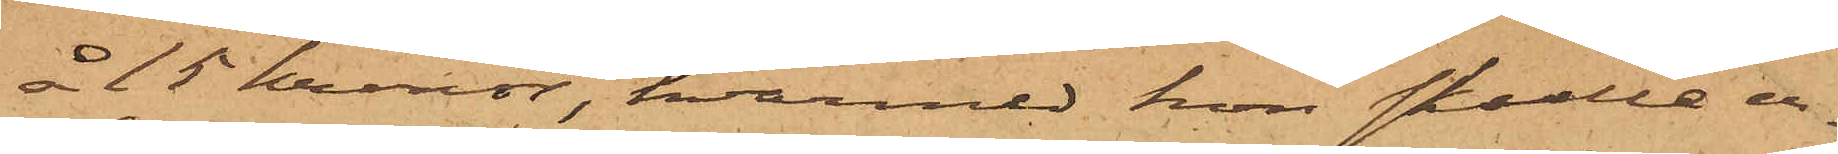å 15 kronor, hvarmed hon skulle er¬
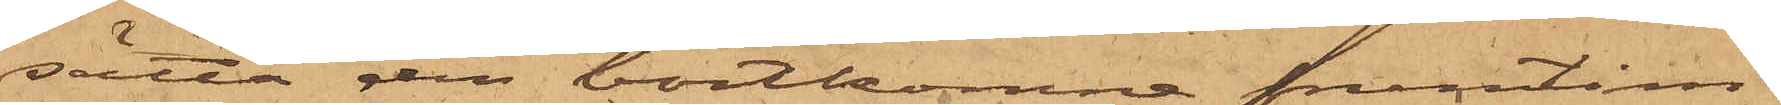sätta den bortkomne fruntim¬
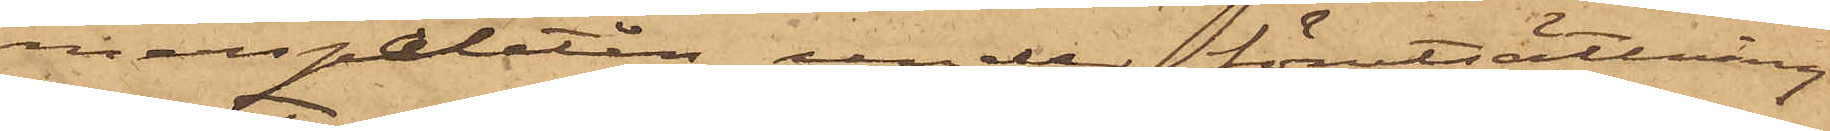merspaletån, under förutsättning
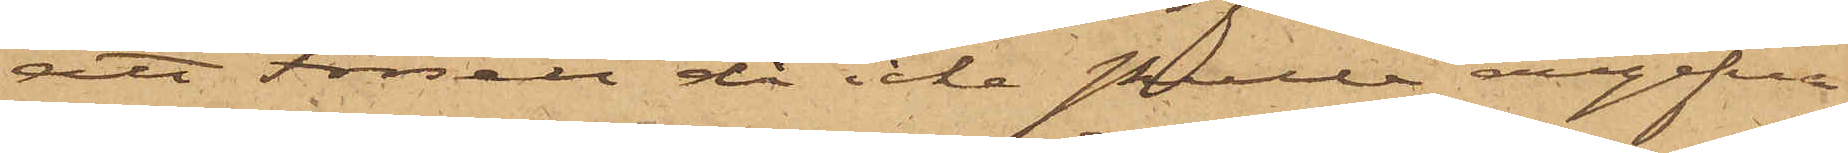att Forsell då icke skulle angifva
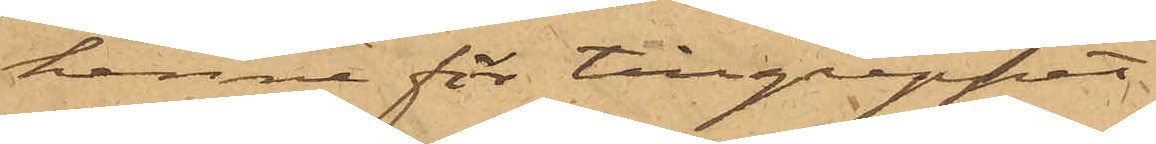henne för tillgreppet.
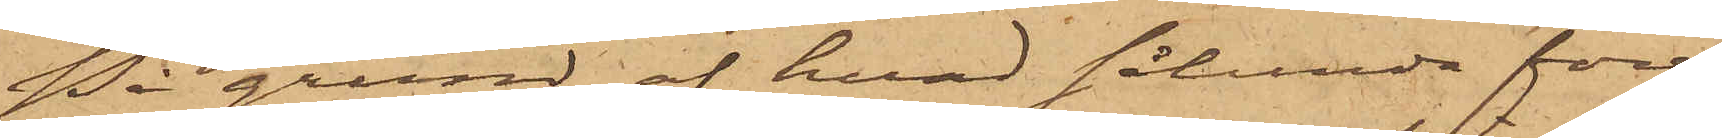På grund af hvad sålunda före¬
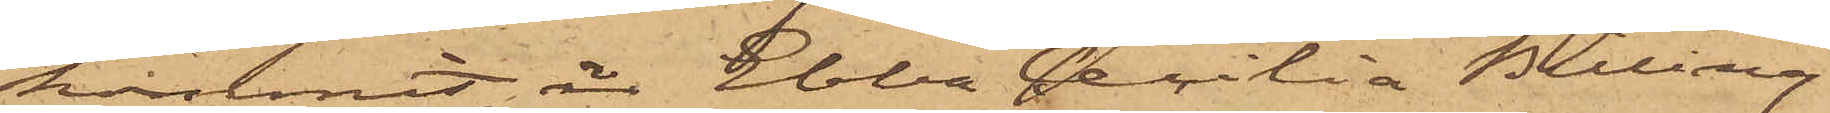kommit, är Ebba Cecilia Billing
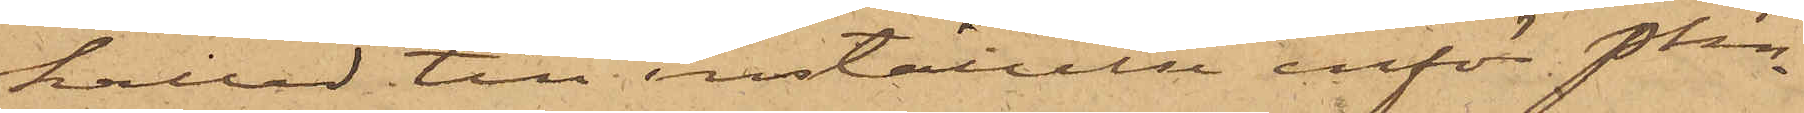kallad till inställelse inför Pkn
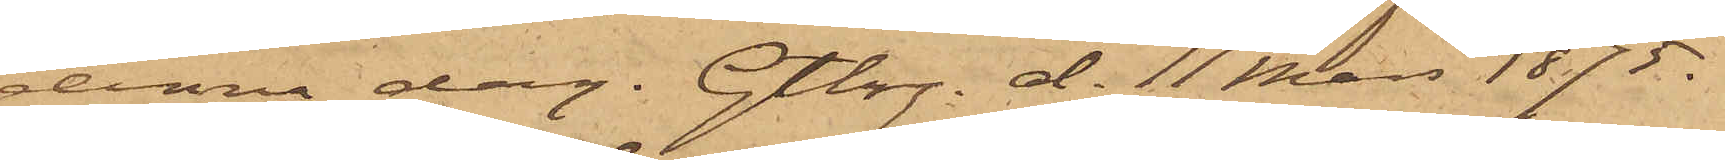denna dag. Gtbg d. 11 Mars 1875.
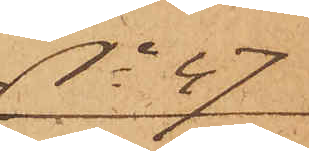No 47
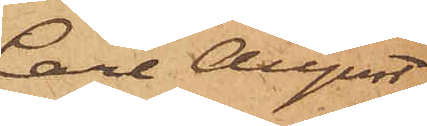Carl August
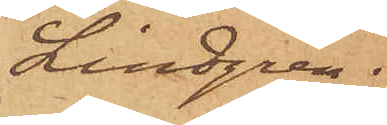Lindgren.
